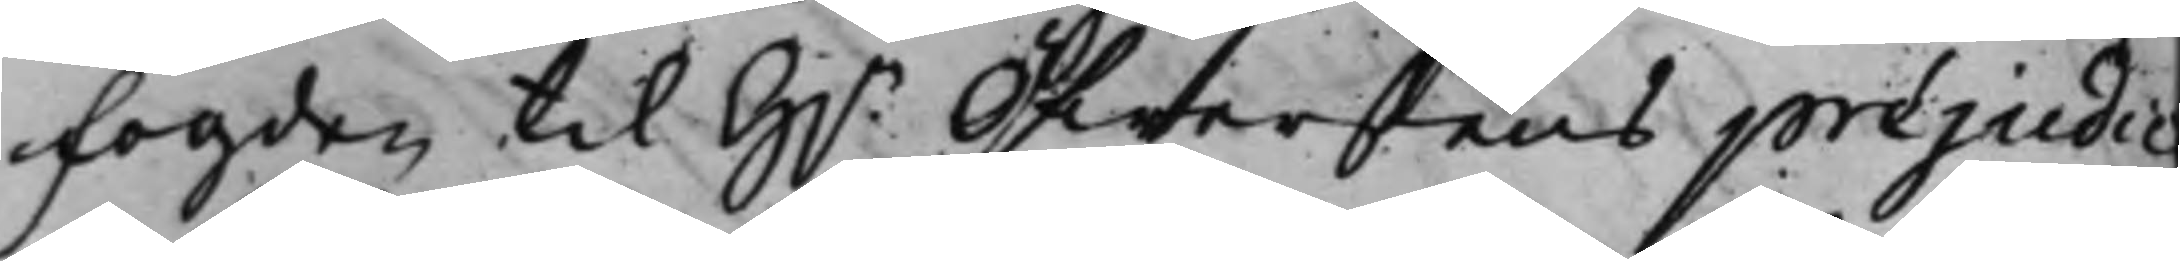fogden til H.r Öfwerstens préjudic
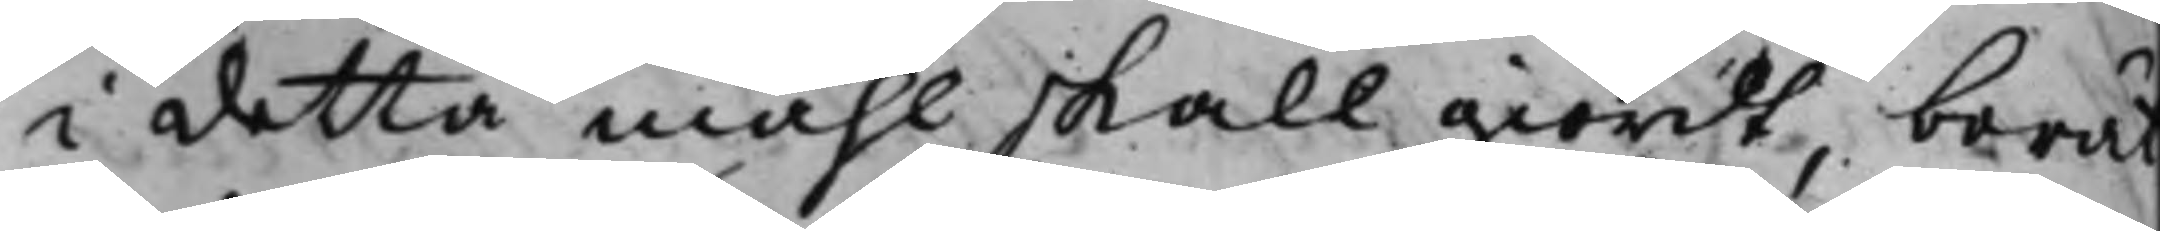i detta måhl skall giordt, berät¬
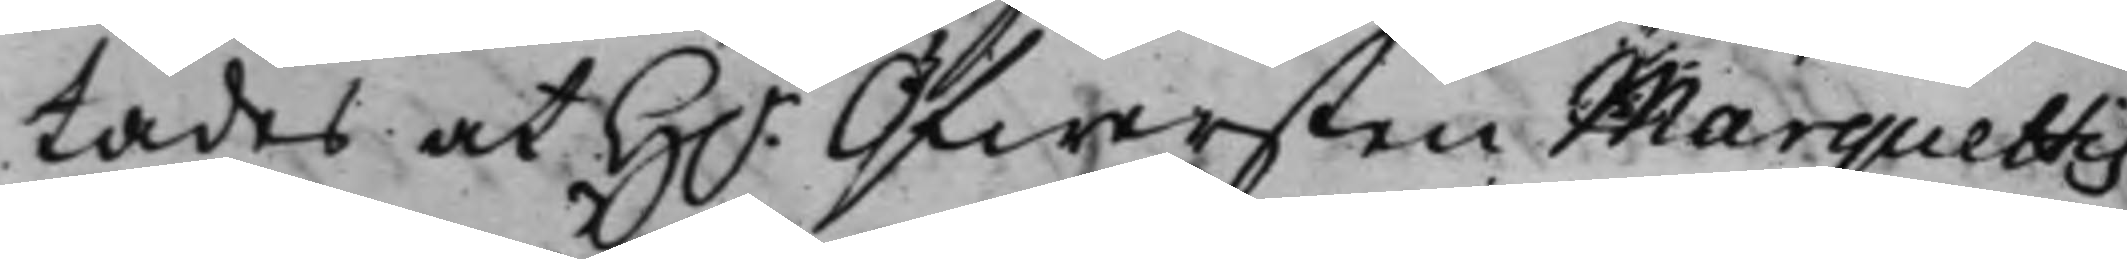tades at H.r Öfwersten Marquettis
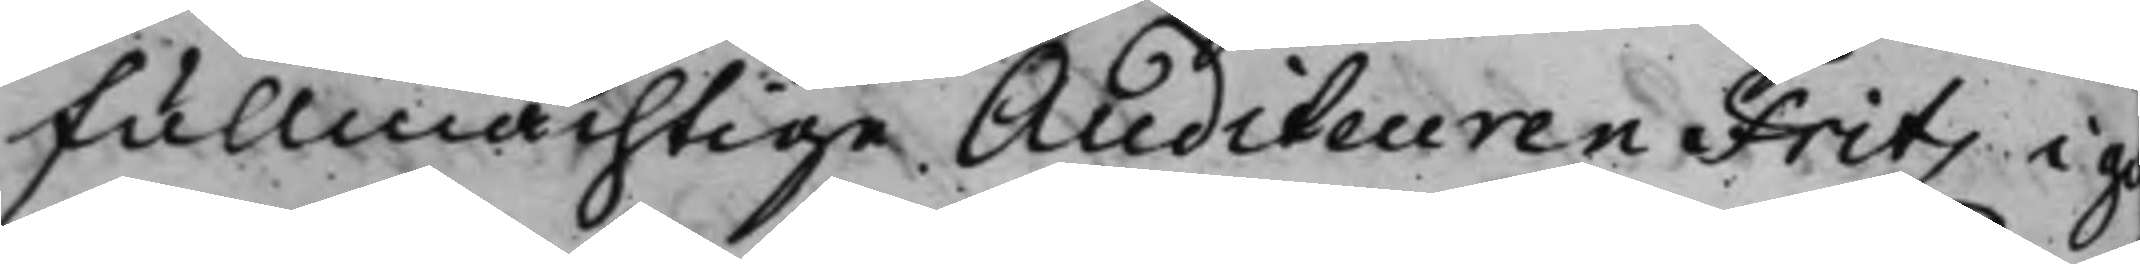Fullmächtige Auditeuren Fritz i g
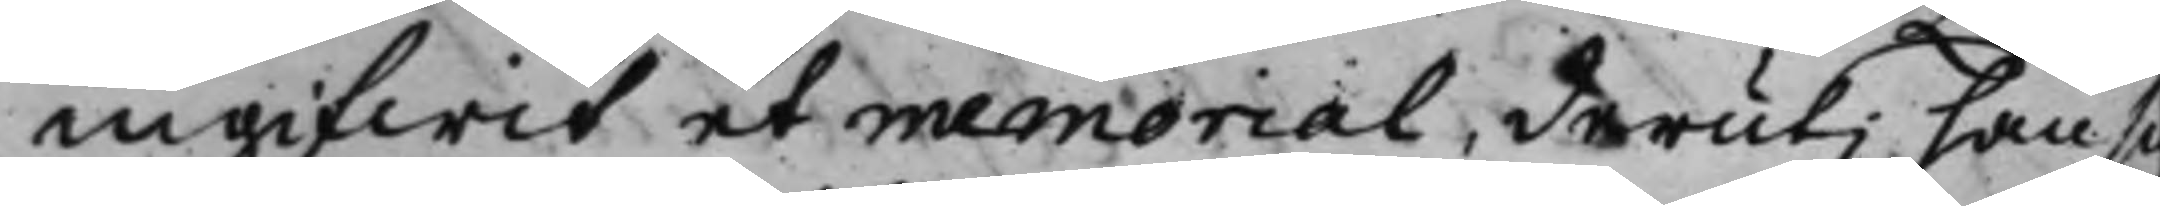ingifwit et memorial, deruti han sig
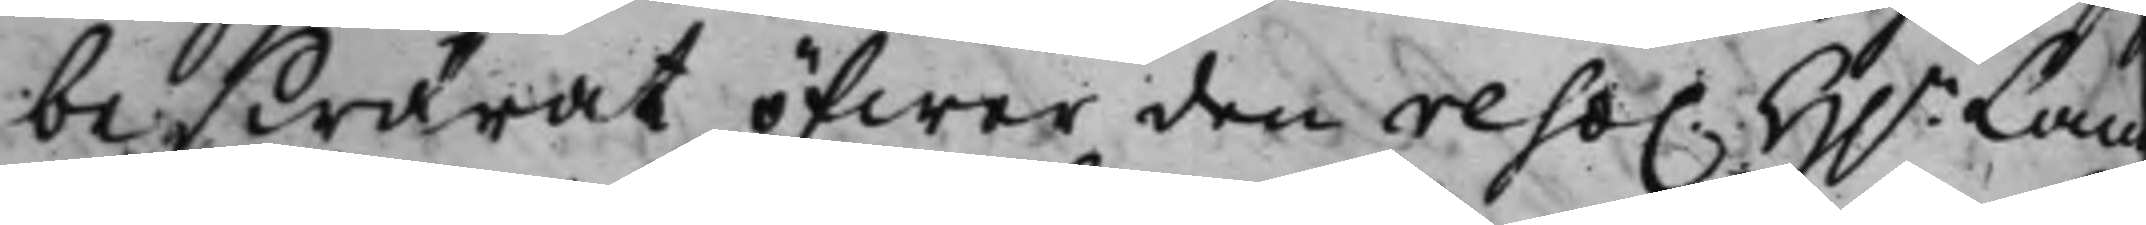beswärat öfwer den reso. H.r Land¬
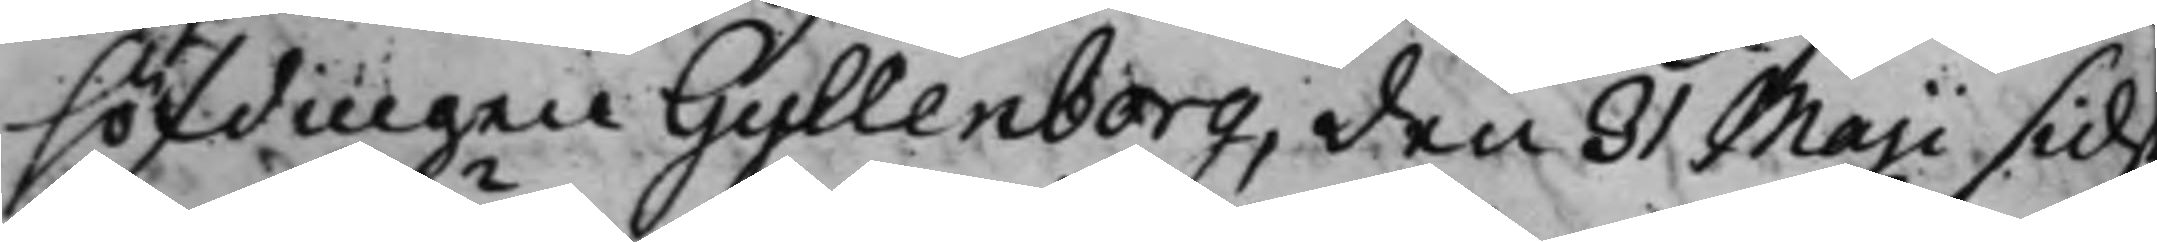höfdingen Gyllenborg, den 31 Maji sids
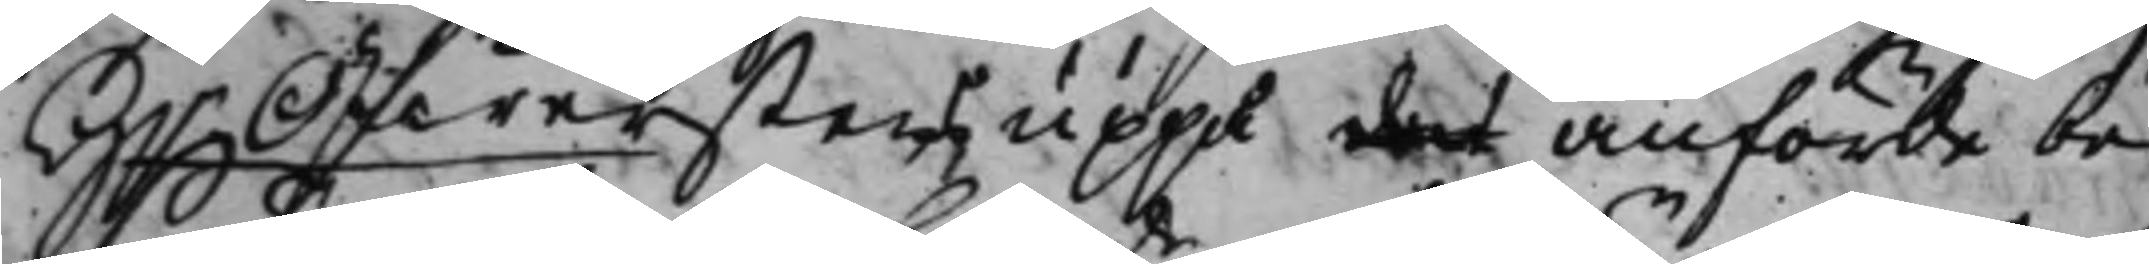H.r Öfwersten uppå det anförde be¬
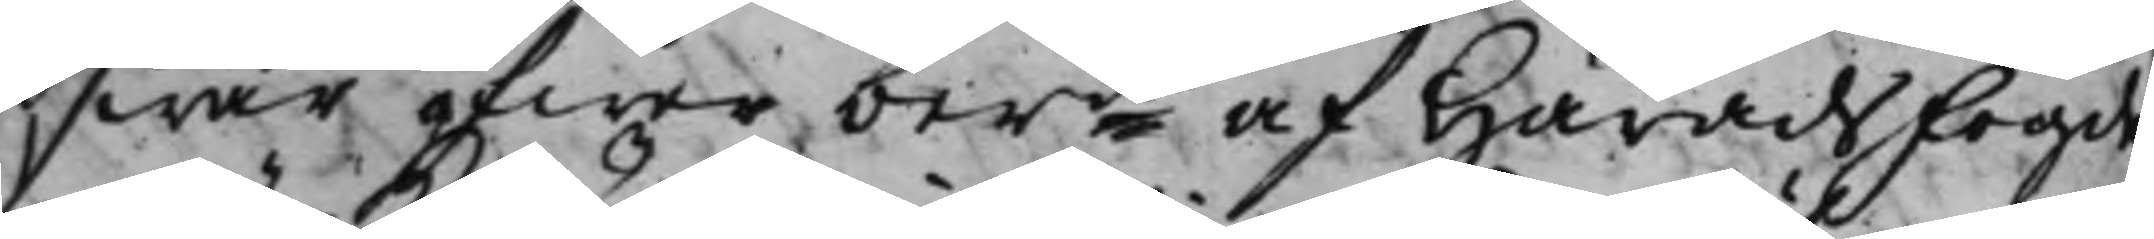swär öfwer berde af Häradsfogden
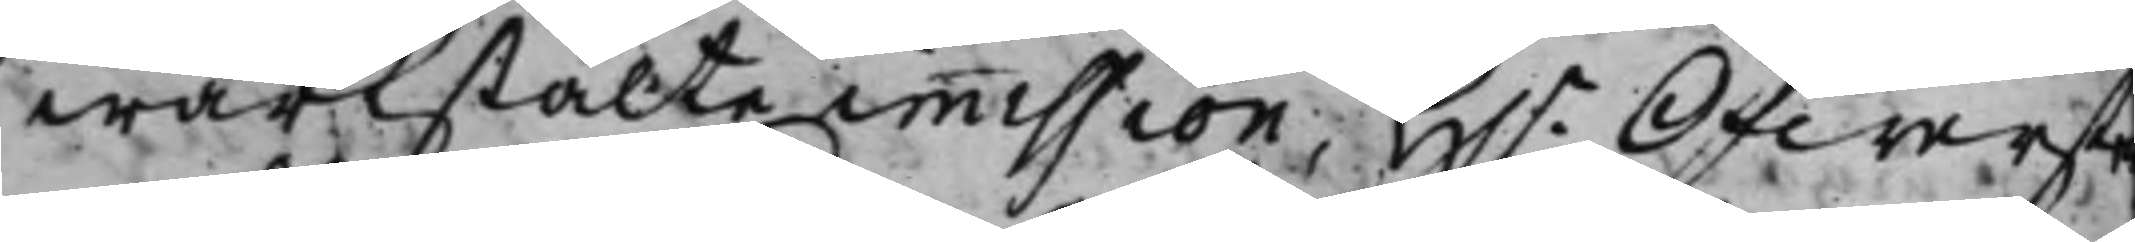wärkstälte immission, H.r Öfwerste
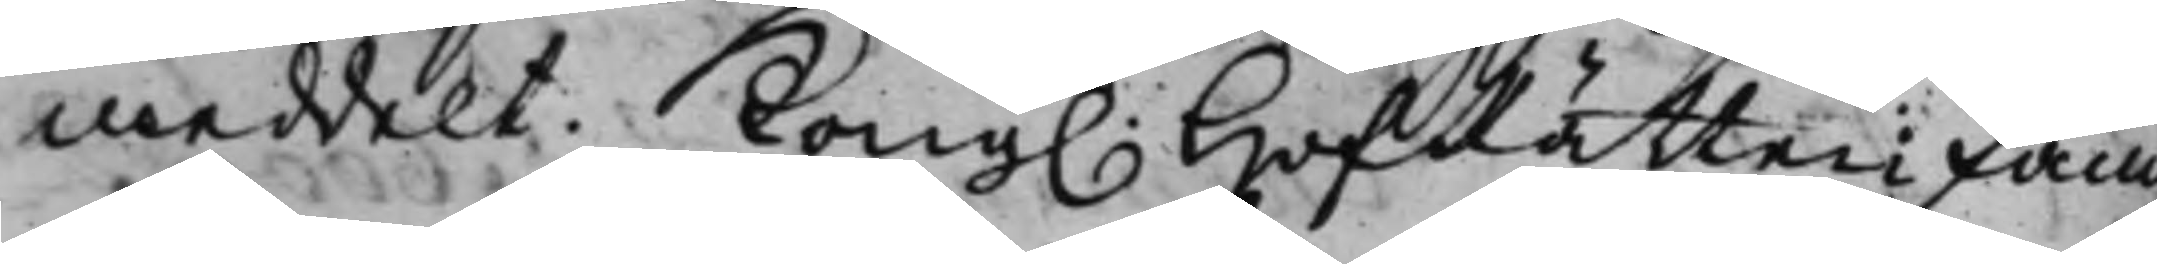meddelt. Kong. HofRätten fand
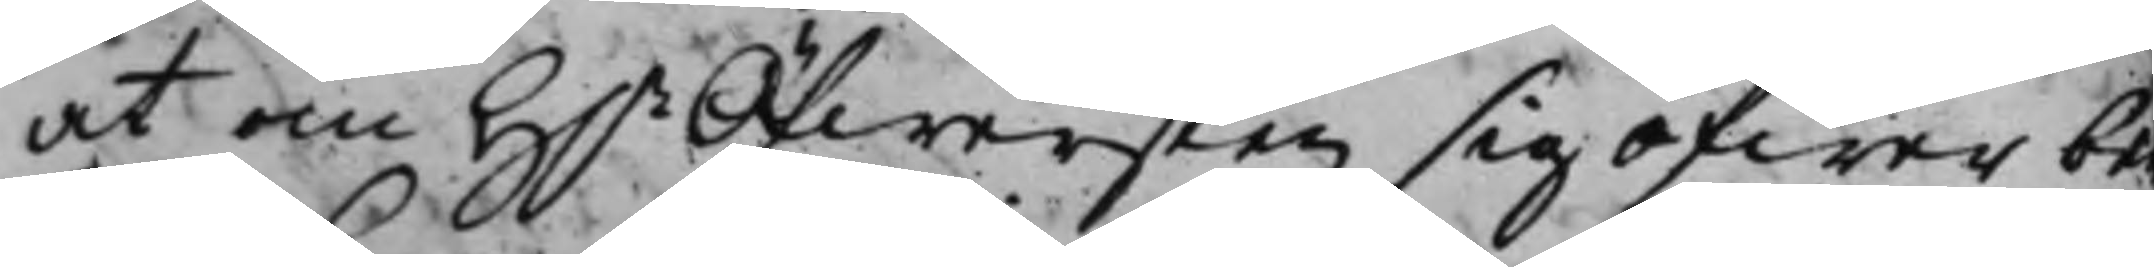at om H.r Öfwersten sig öfwer be
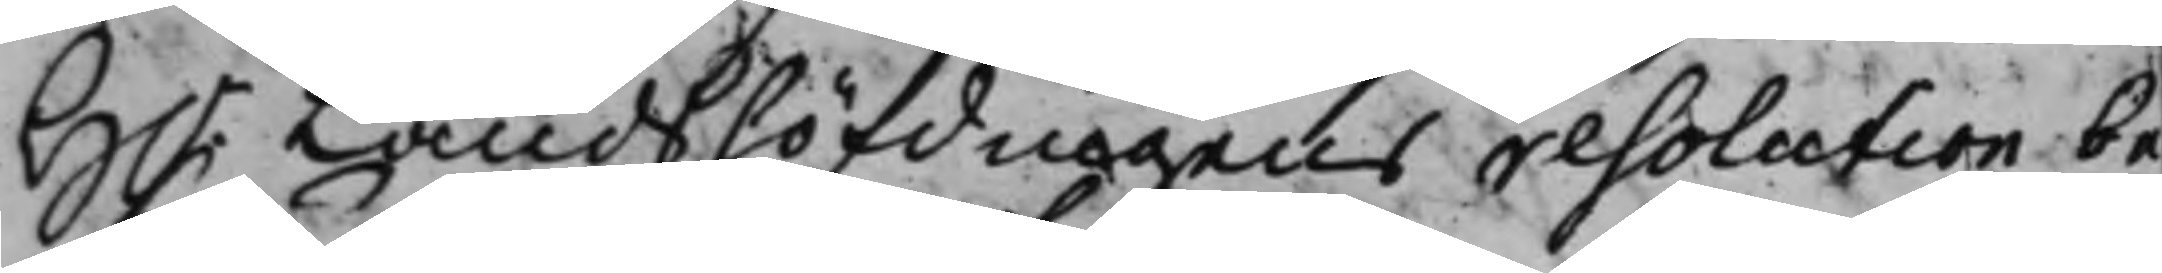H.r Landshöfdingens resolution be¬
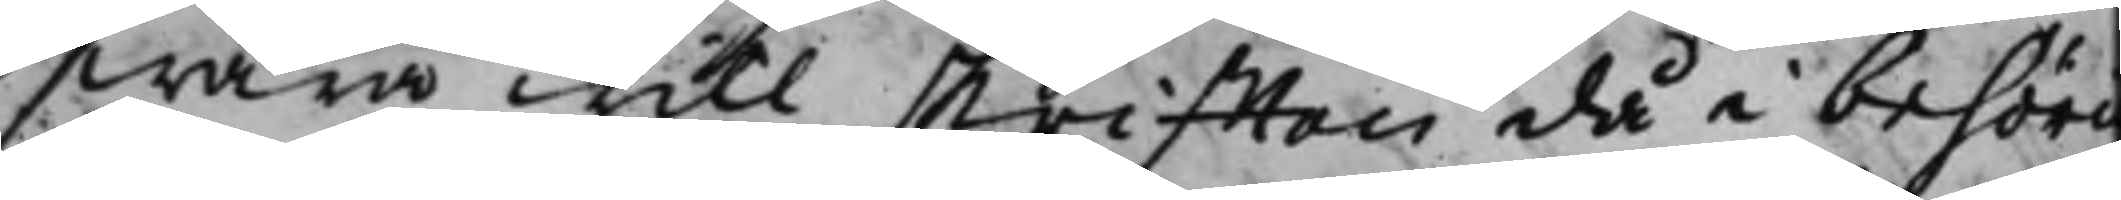swära will skrifften då i behöri
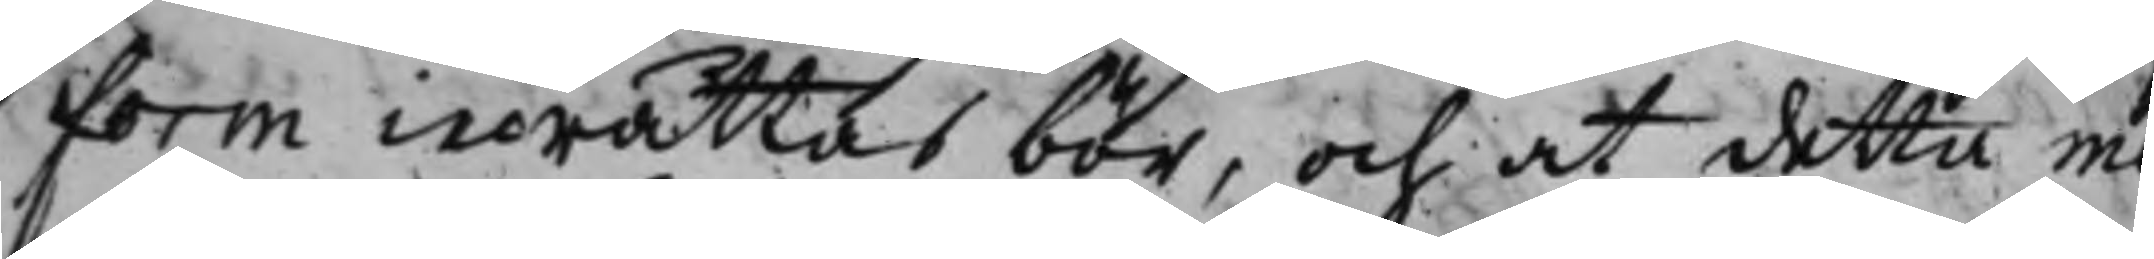Form inrättas bör, och at detta me¬
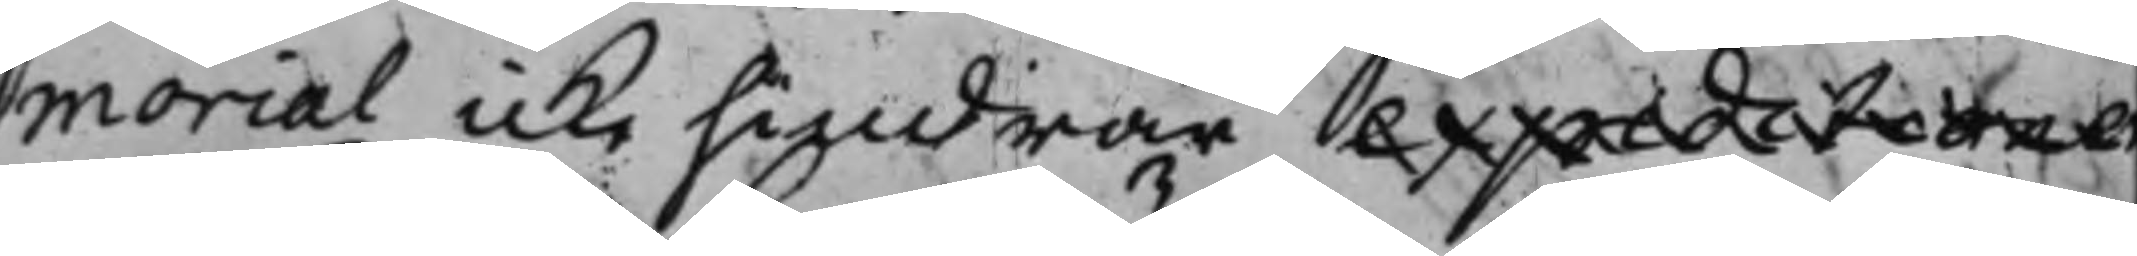morial icke hindrar expeditorer
